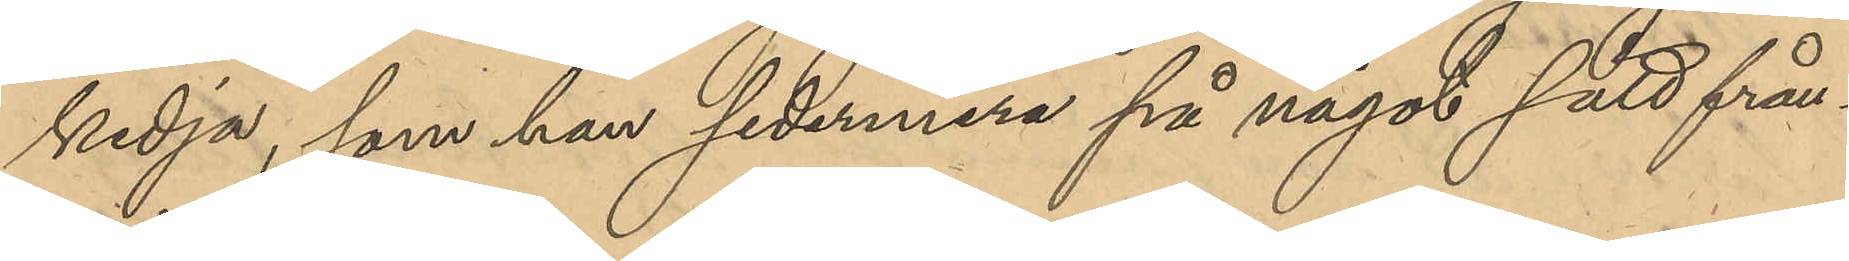kedja, som han sedermera på något sätt från¬
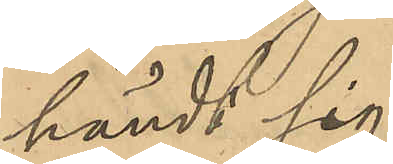händt sig.
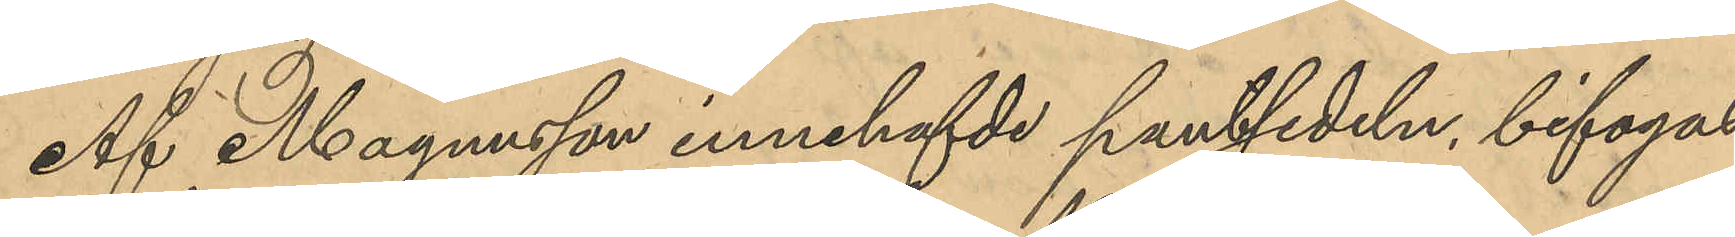Af Magnusson innehafvde pantsedeln bifogas.
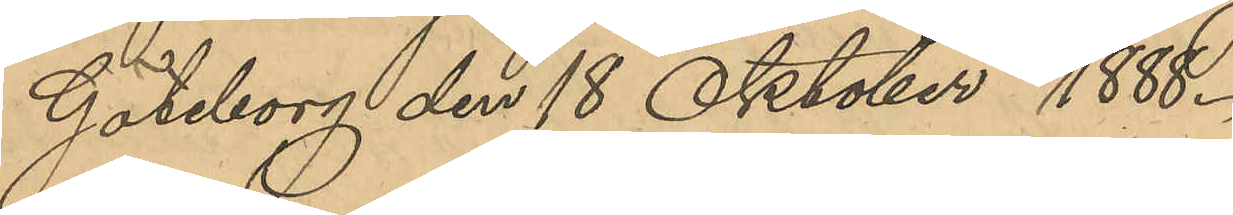Göteborg den 18 Oktober 1888.
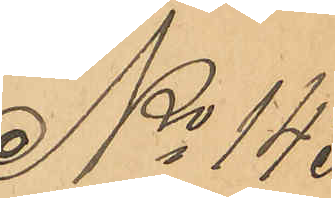No 143
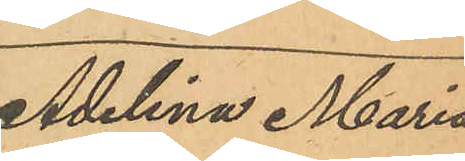Adelina Maria
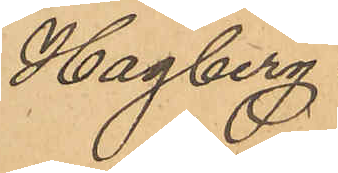Hagberg.
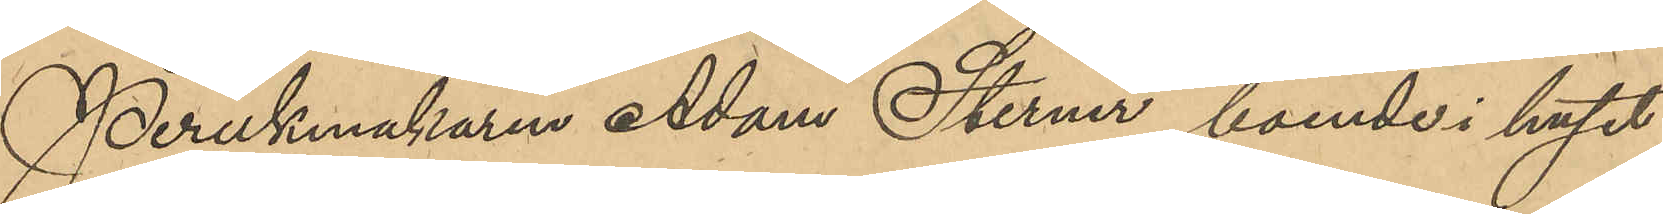Perukmakaren Adam Sterner, boende i huset
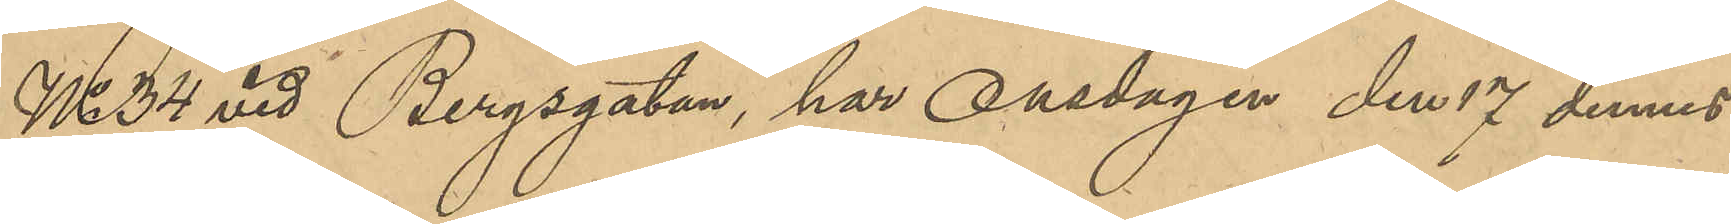No 34 vid Bergsgatan, har Onsdagen de 17 dennes
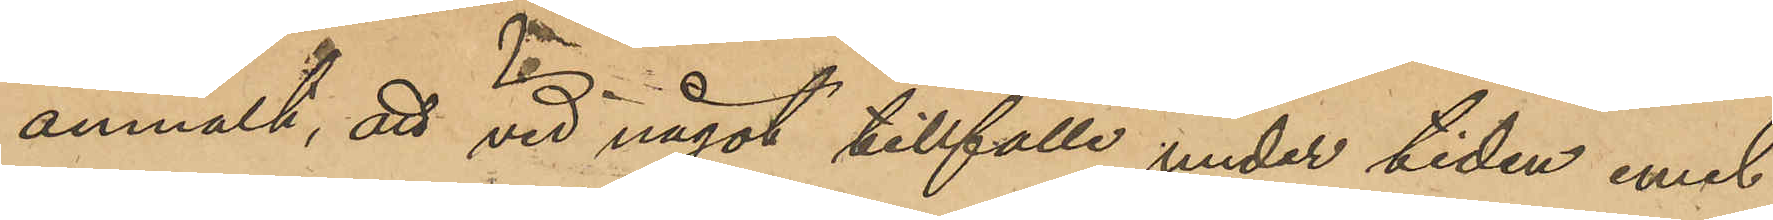anmält, att vid något tillfälle under tiden emel¬
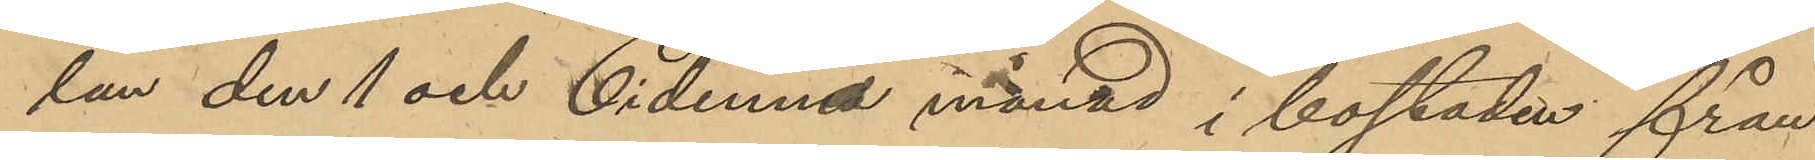lan den 1 och 6 i denna månad i bostaden från
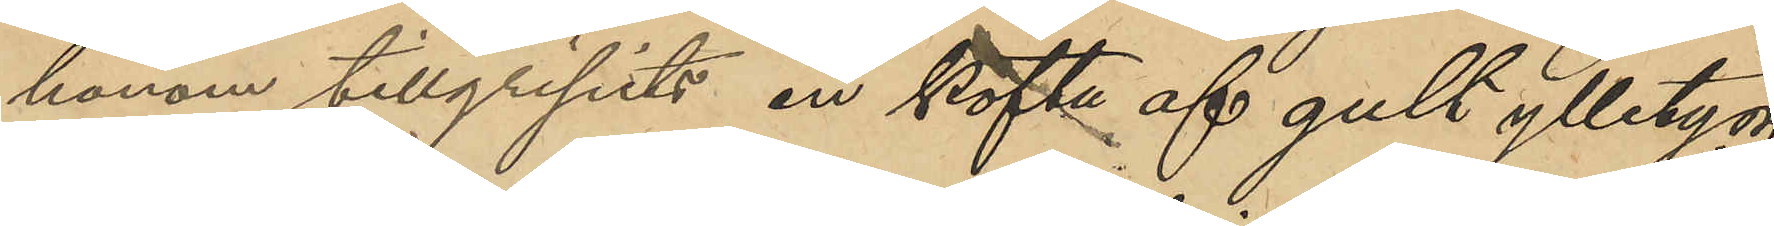honom tillgripits en kofta af gult ylletyg,
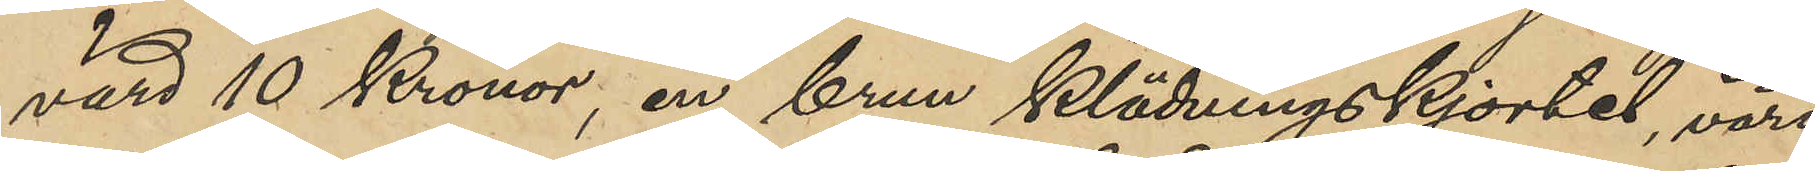värd 10 Kronor, en brun klädningskjortel, värd
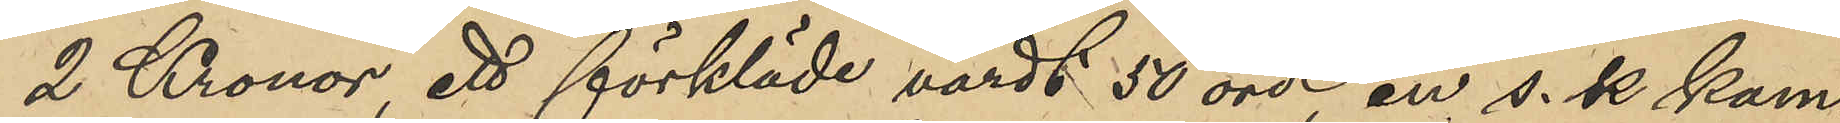2 Kronor, ett förkläde värdt 50 öre, en s. k. kam¬
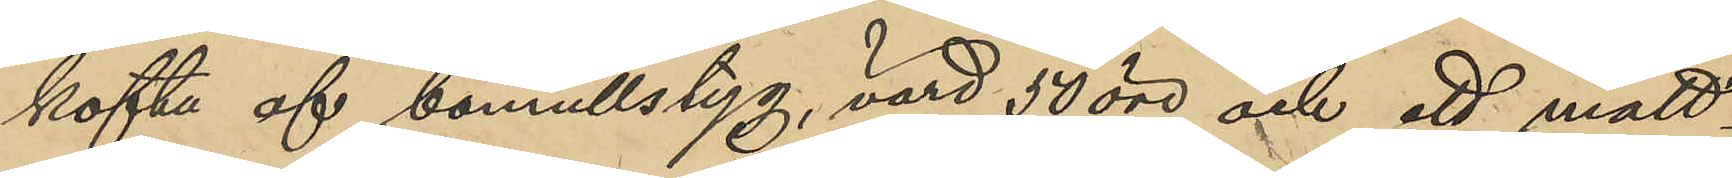kofta af bomullstyg, värd 50 öre, och ett mått¬
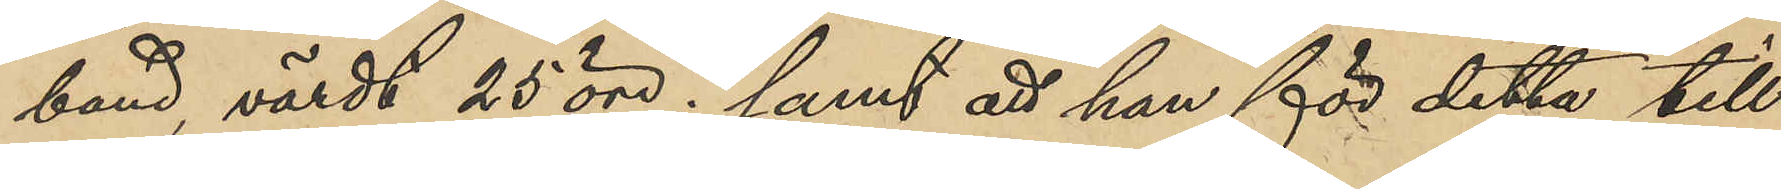band, värdt 25 öre; samt att han för detta till¬
